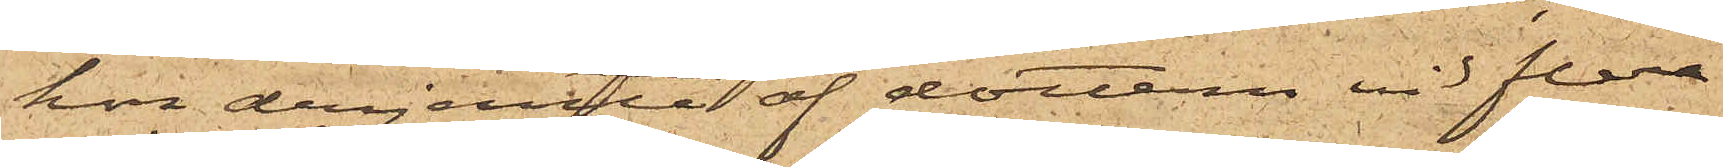hon derjemte af dottern vid flera
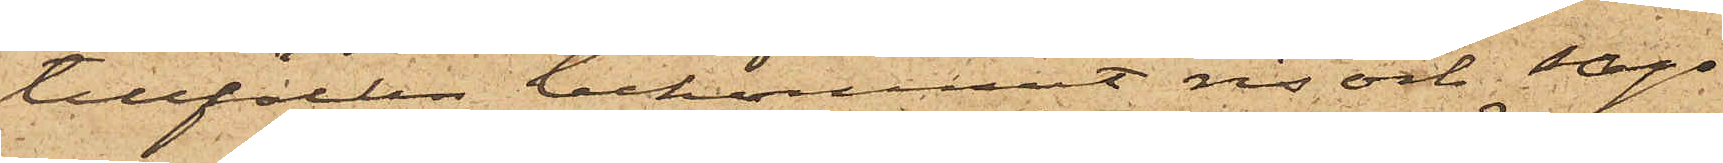tillfällen bekommit ris och sago¬
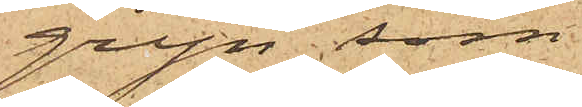gryn, som
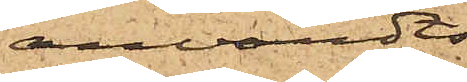användts
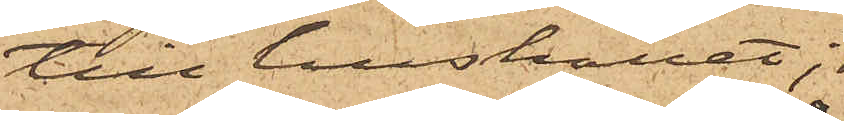till hushållet;
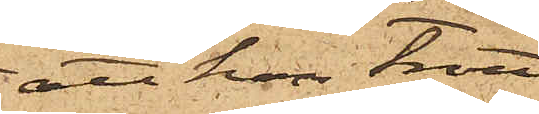att hon trott
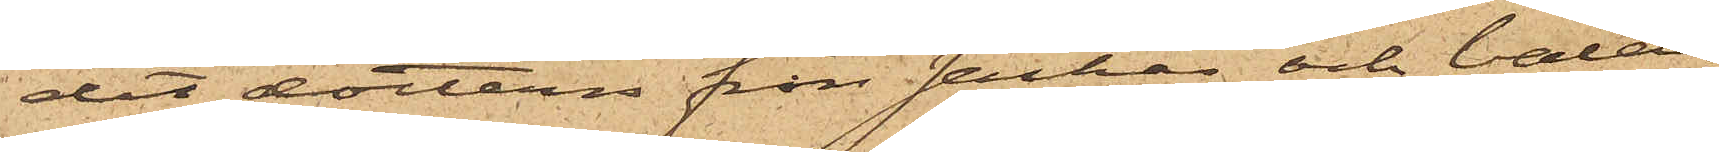det dottern från säckar och balar
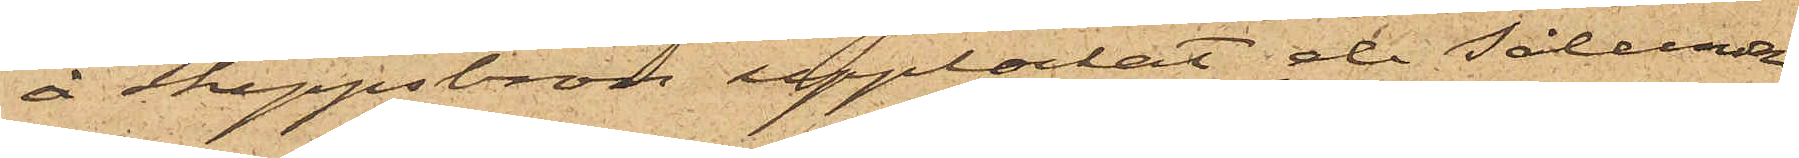å Skeppsbron upplockat de sålunda
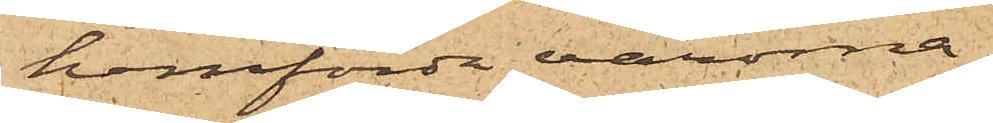hemförda varorna;
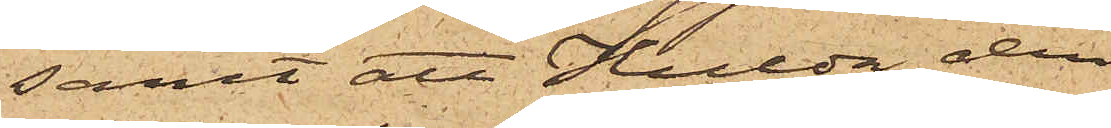samt att Hulda den
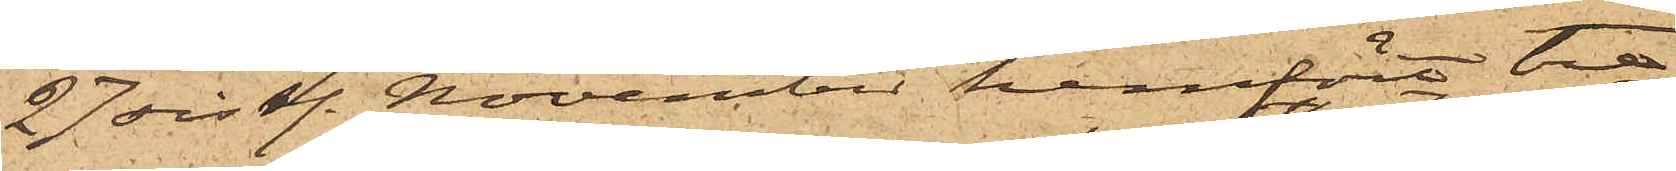27 sistl. November hemfört tre
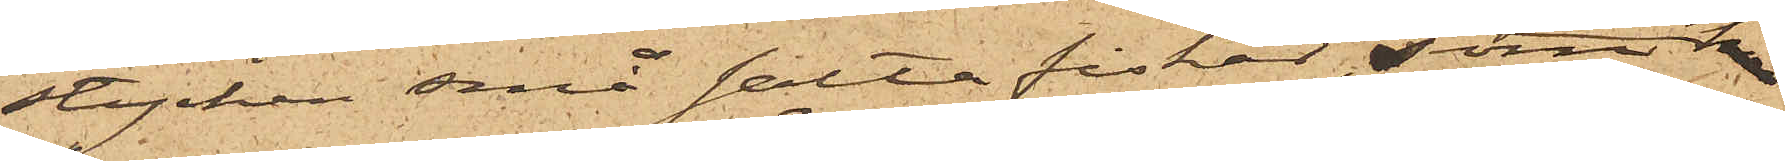stycken små salta fiskar, som
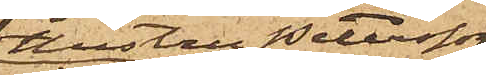hustru Petersson
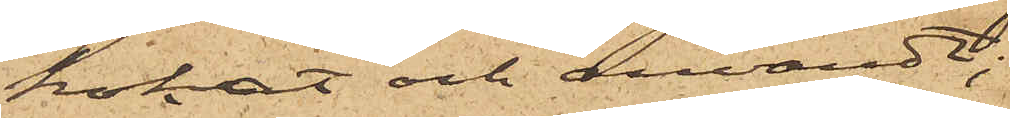kokat och användt;
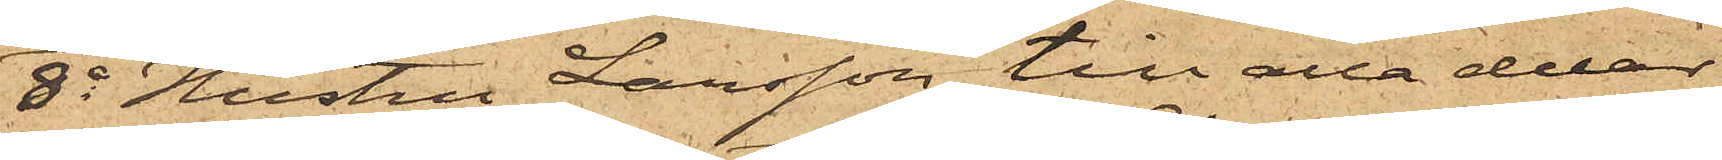8o Hustru Larsson till alla delar
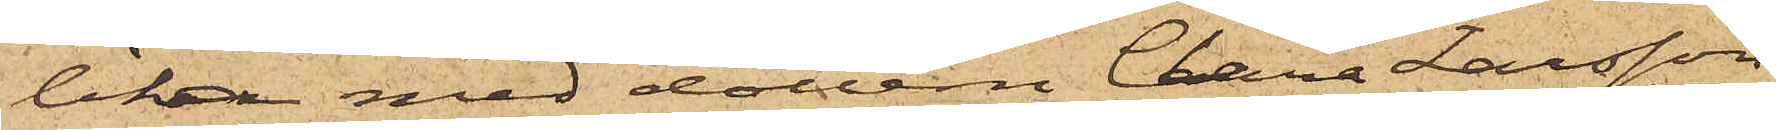lika med dottern Clara Larsson
